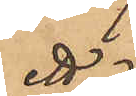ett
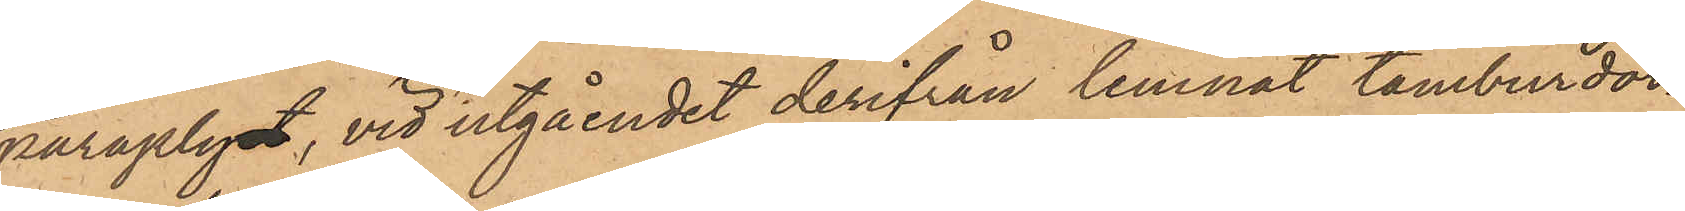paraply, vid utgåendet derifrån lemnat tamburdör¬
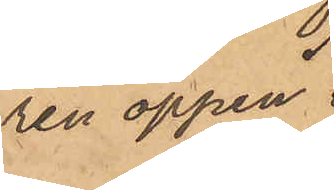ren öppen 
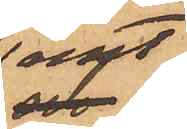samt
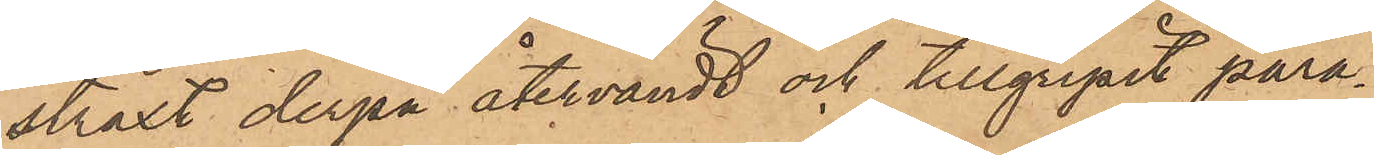straxt derpå återvändt och tillgripit para¬
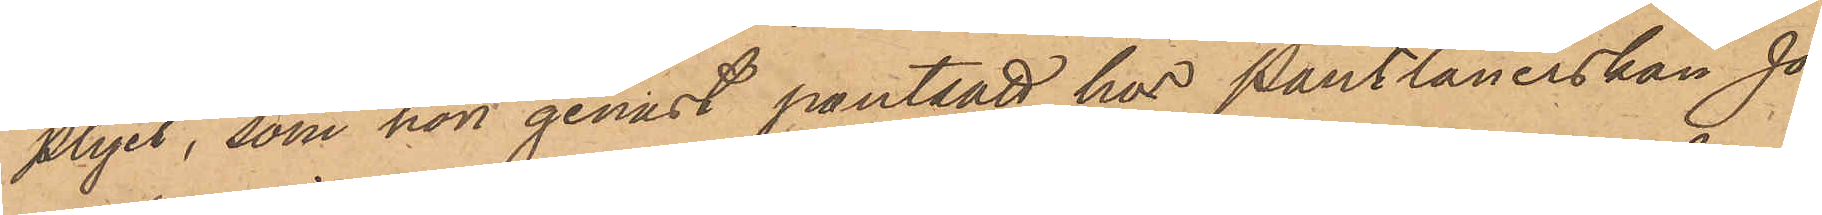plyet, som hon genast pantsatt hos Pantlånerskan Jo¬
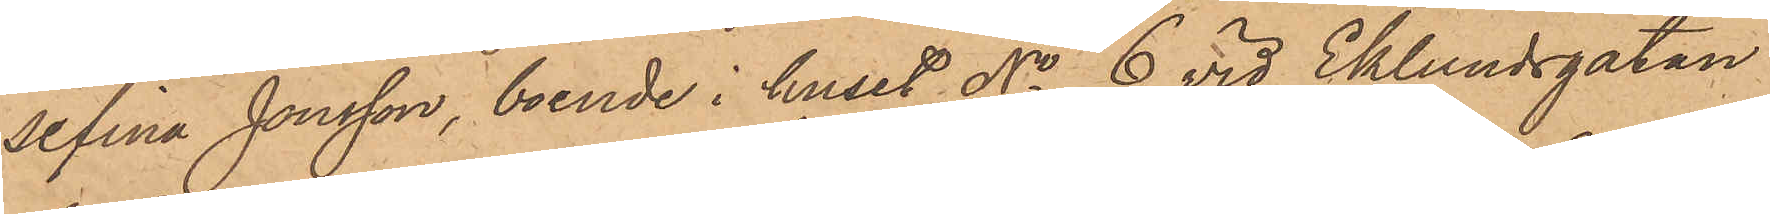sefina Jonsson, boende i huset No 6 vid Eklundsgatan,
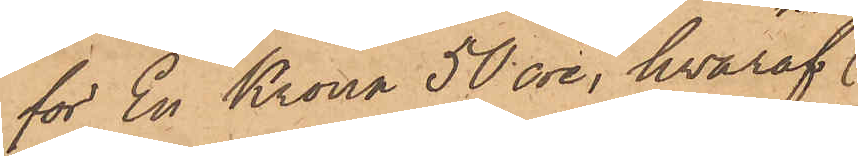för En Krona 50 öre, hvaraf
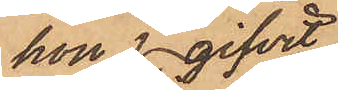hon gifvit
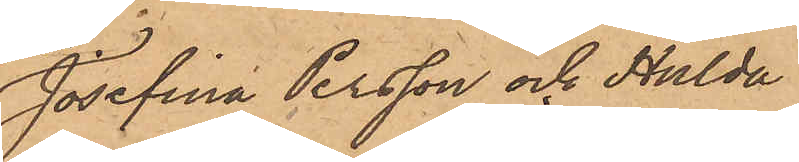Josefina Persson och Hulda
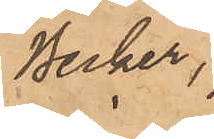Becker,
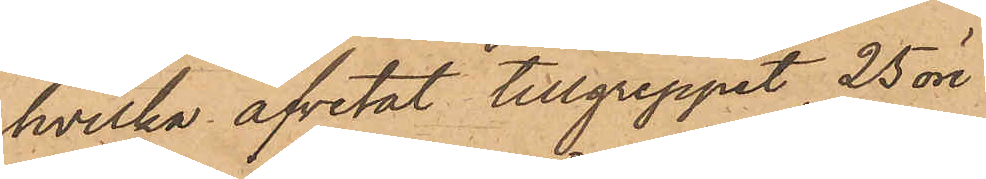hvilka afvetat tillgreppet, 25 öre
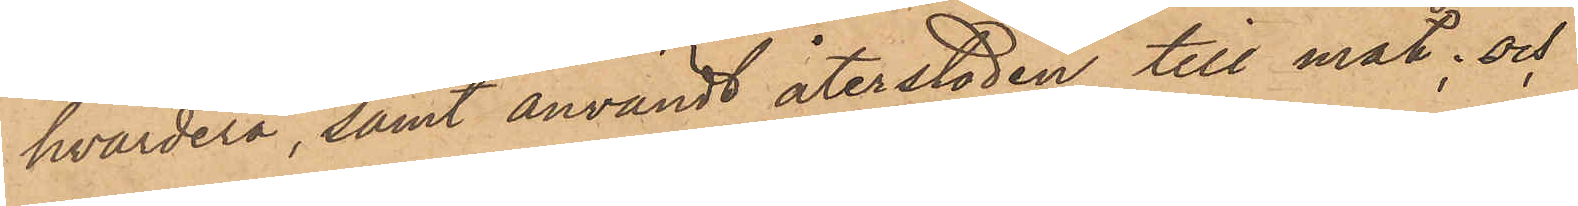hvardera, samt användt återstoden till mat; och
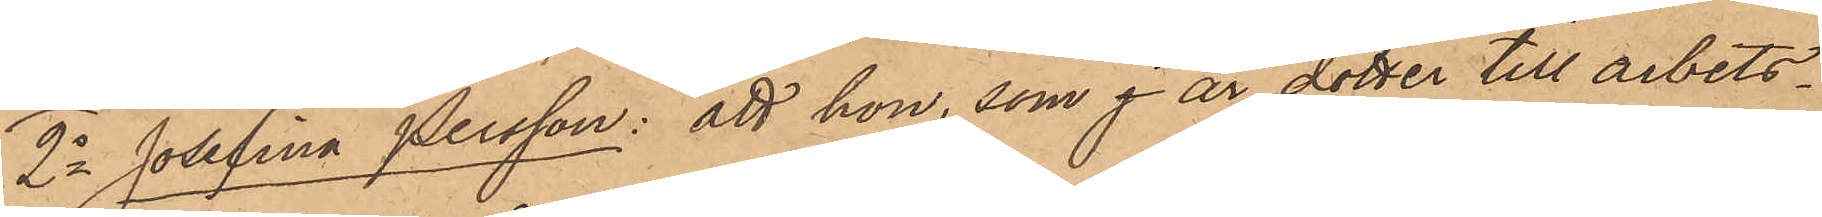2o Josefina Persson: att hon, som är dotter till arbets¬
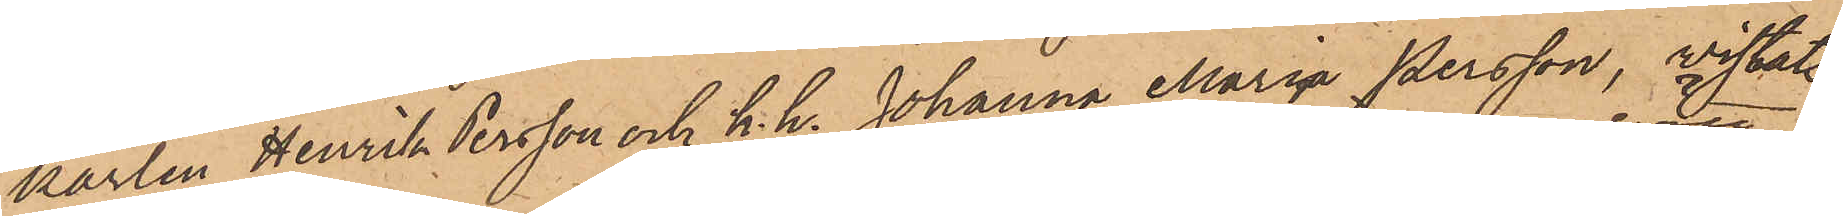karlen Henrik Persson och h. h. Johanna Maria Persson, vistats
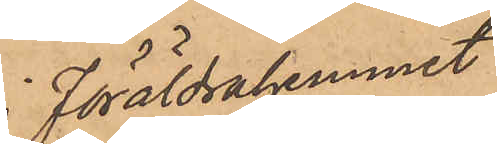i föräldrahemmet
